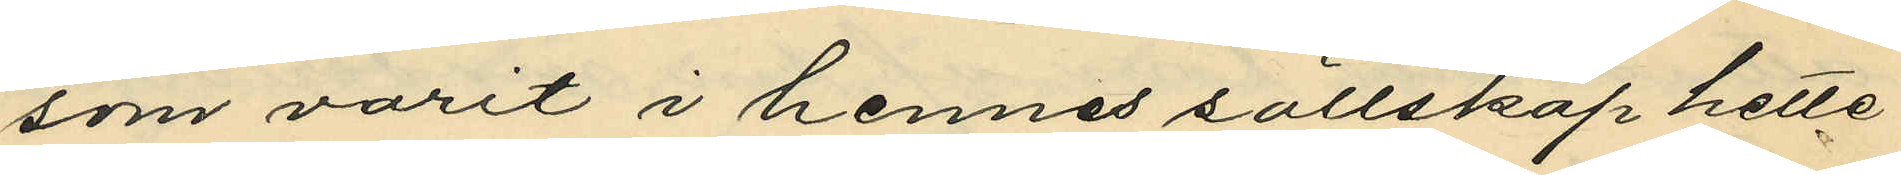som varit i hennes sällskap hette
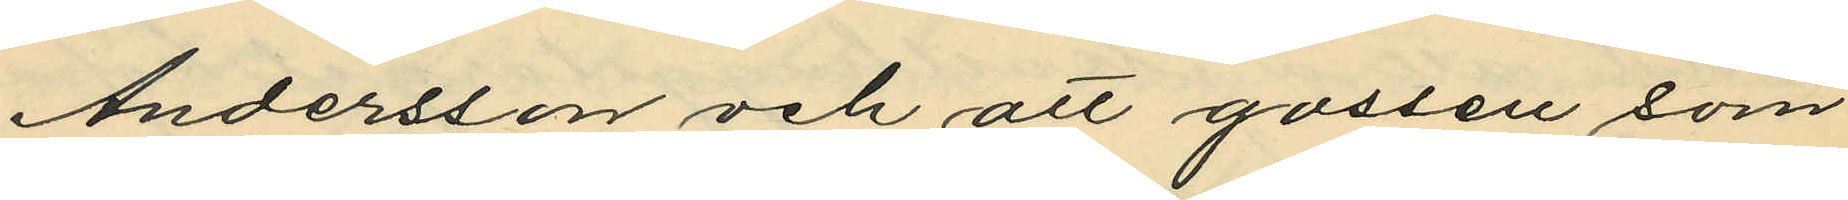Andersson och att gossen som
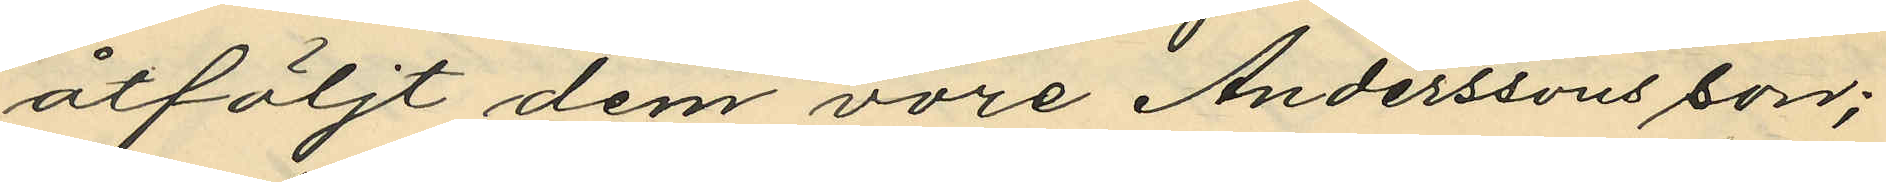åtföljt dem vore Anderssons son;
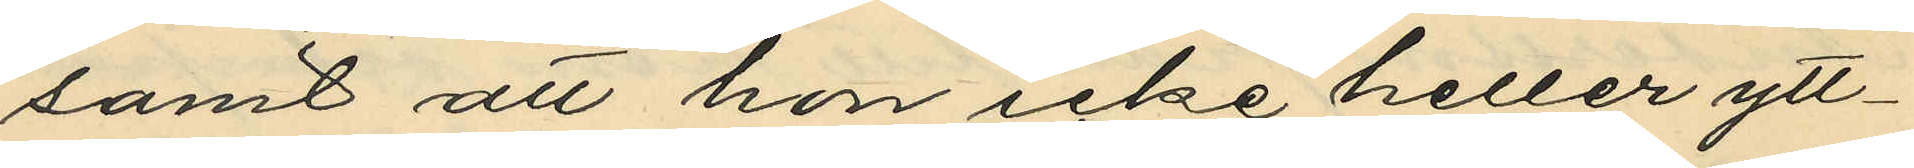samt att hon icke heller ytt¬
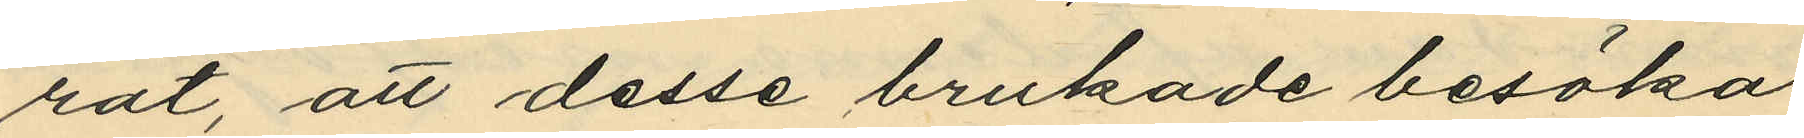rat, att desse brukade besöka
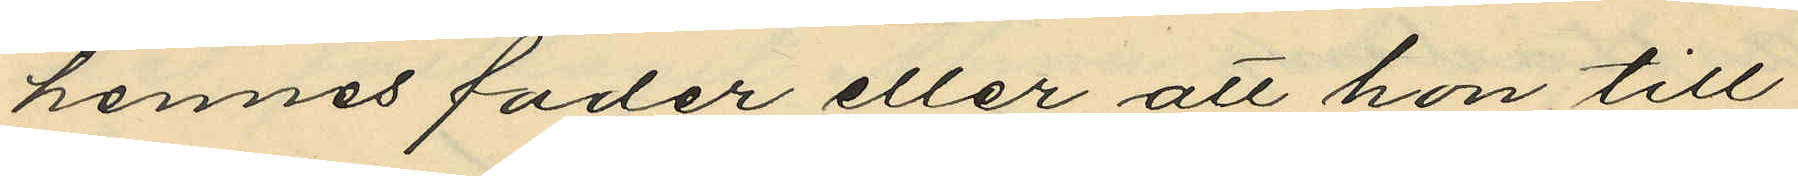hennes fader eller att hon till
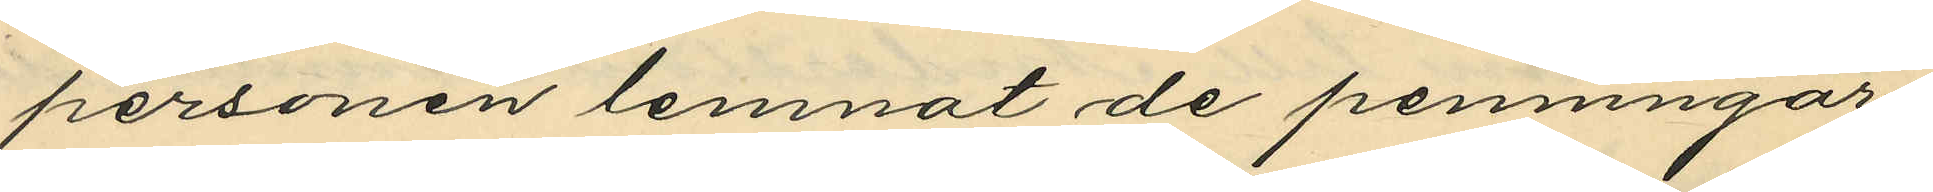personen lemnat de penningar,
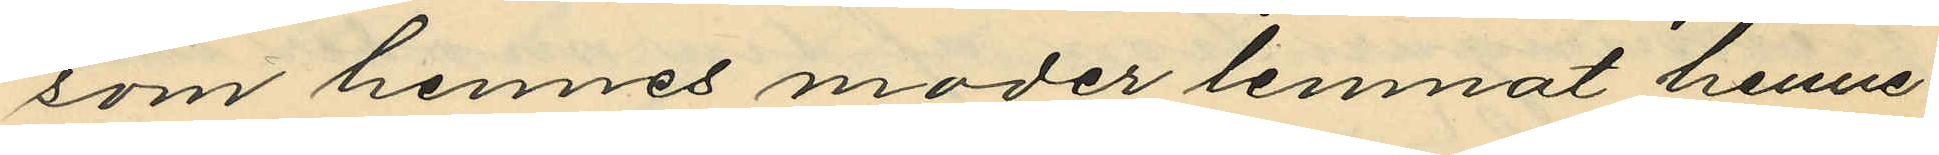som hennes moder lemnat henne
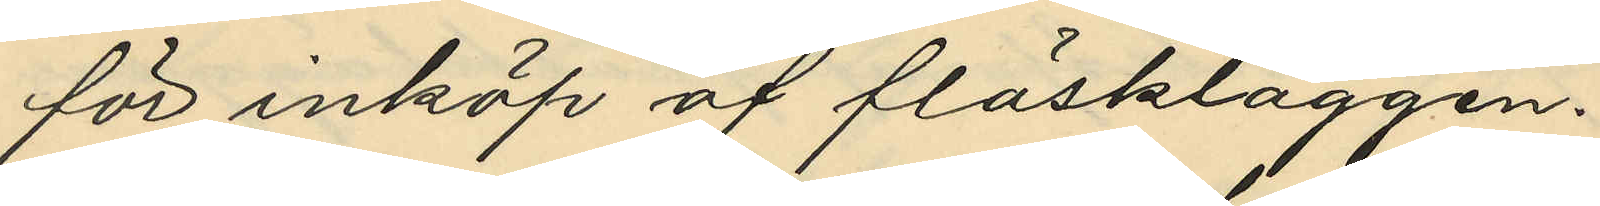för inköp af fläskläggen.
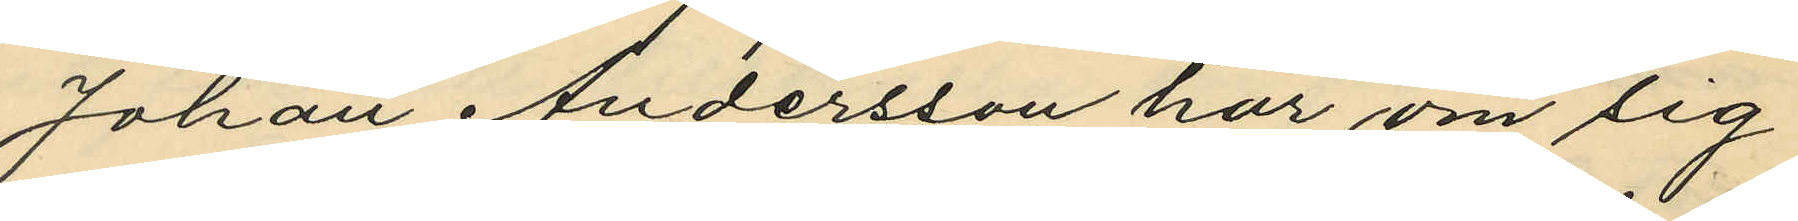Johan Andersson har om sig
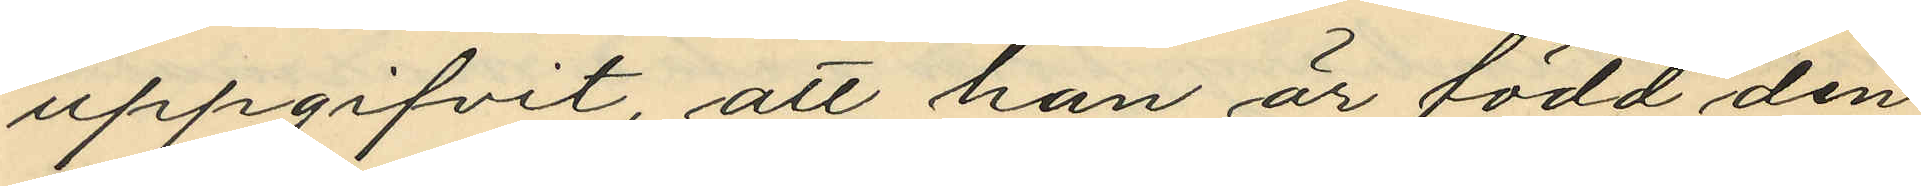uppgifvit, att han är född den
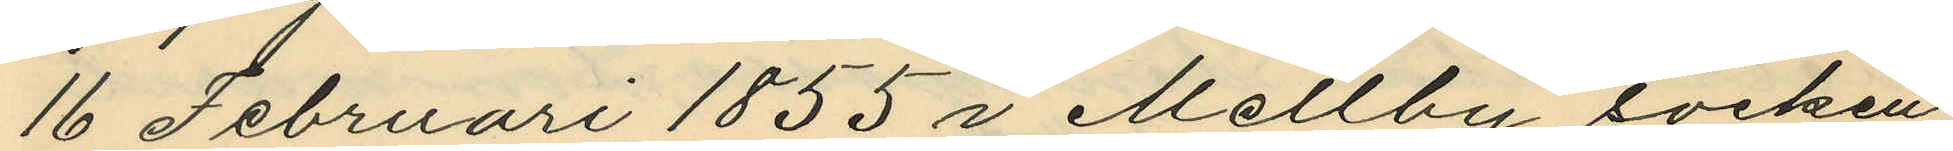16 Februari 1855 i Mellby socken
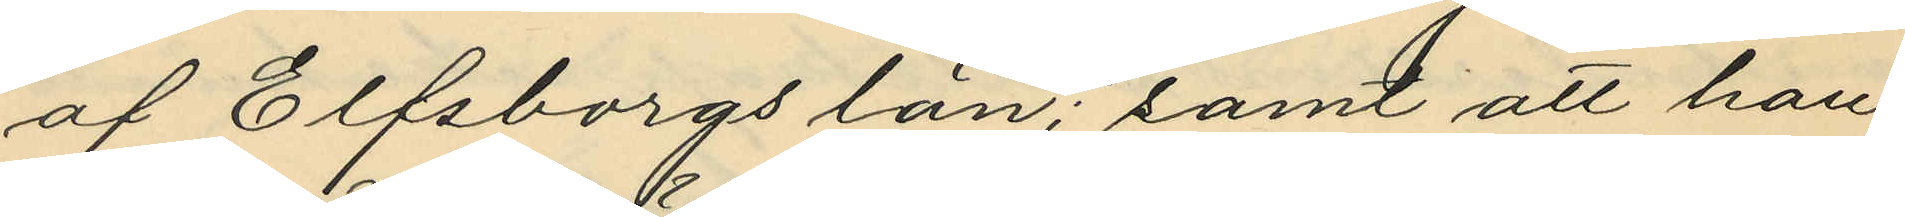af Elfsborgs län; samt att han
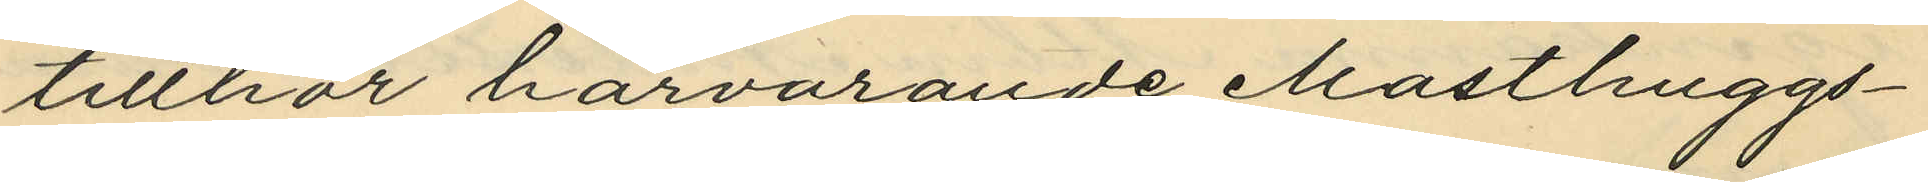tillhör härvarande Masthuggs¬
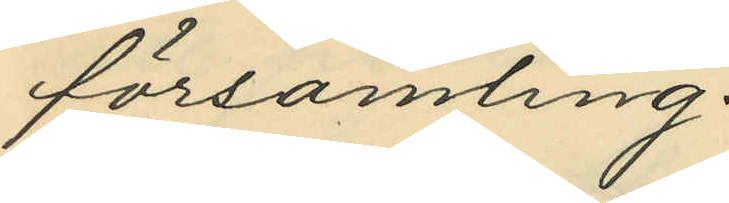församling.
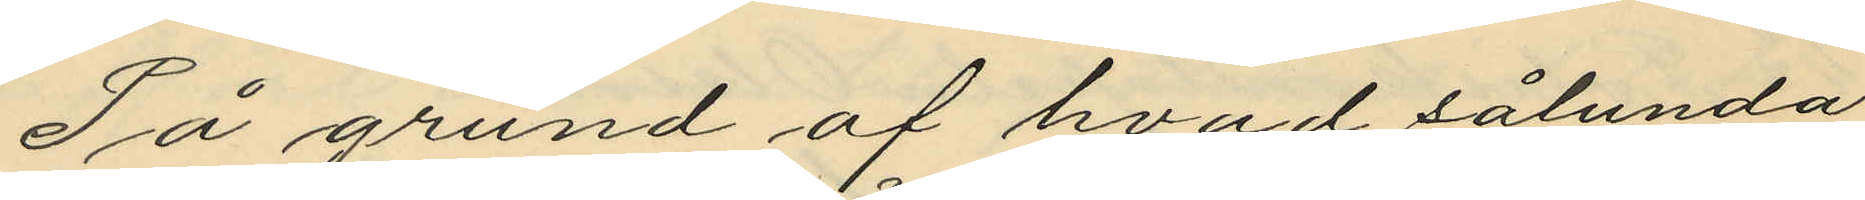På grund af hvad sålunda
